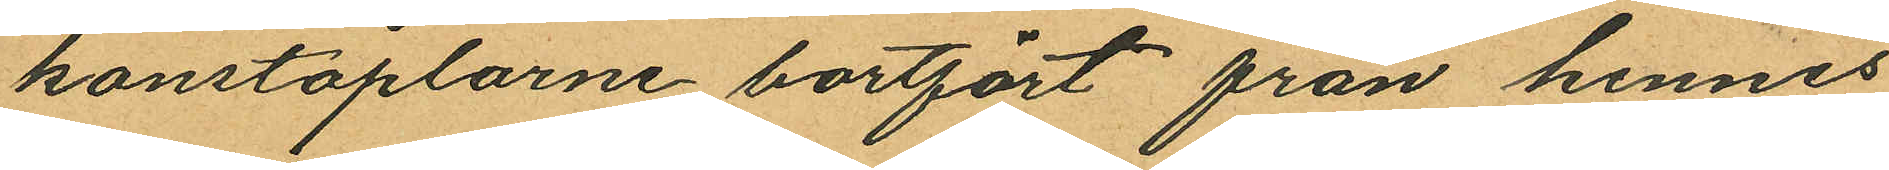konstaplarne bortfört från hennes
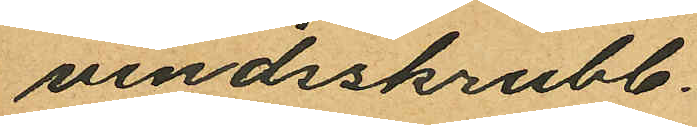vindsskrubb.
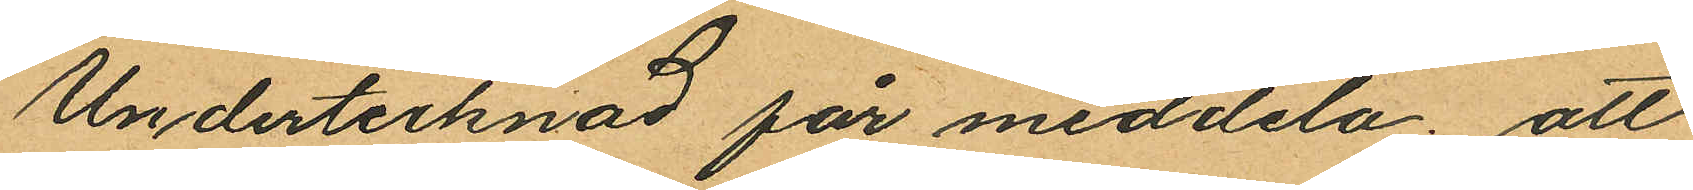Undertecknad får meddela; att
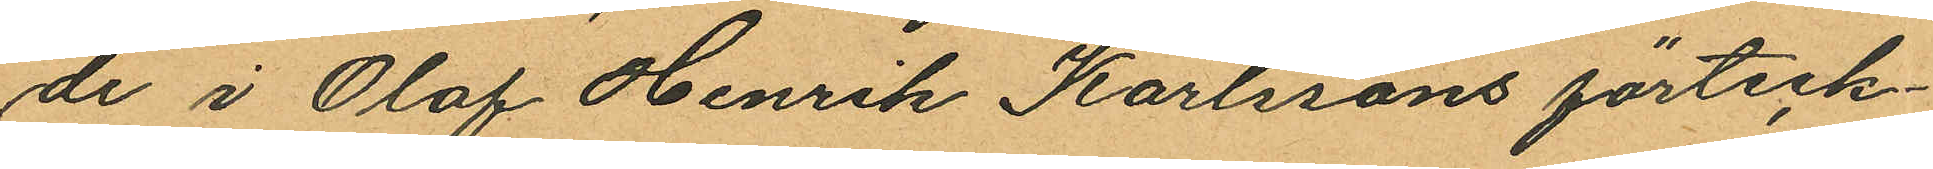de i Olof Henrik Karlssons förteck¬
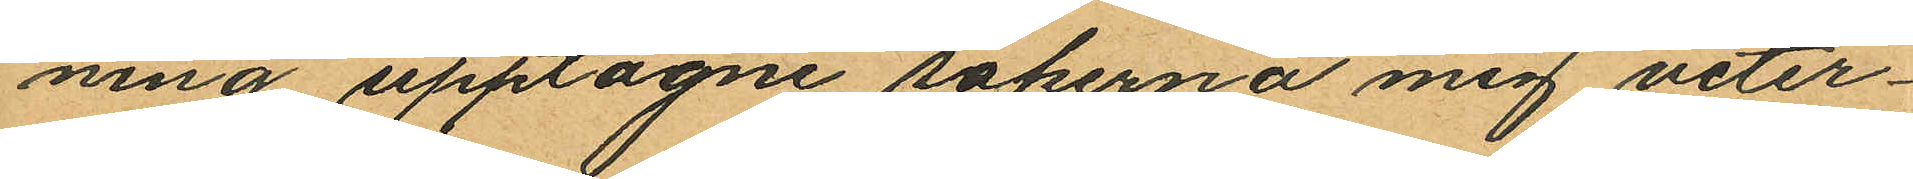ning upptagne sakerna mig veter¬
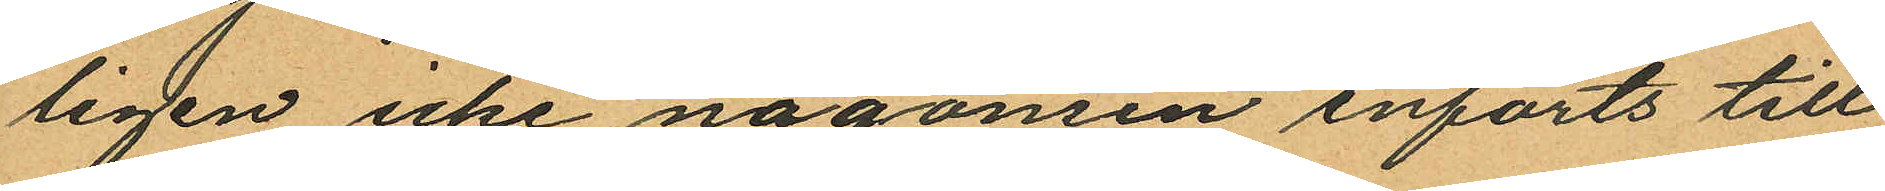ligen icke någonsin införts till
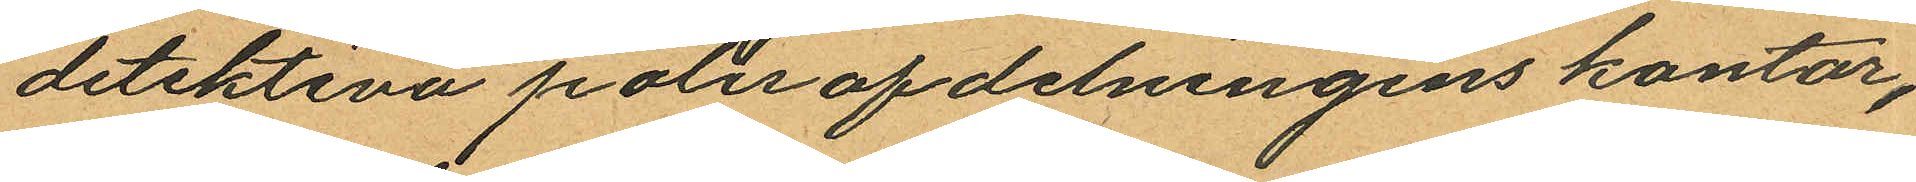detektiva polisafdelningens kontor,
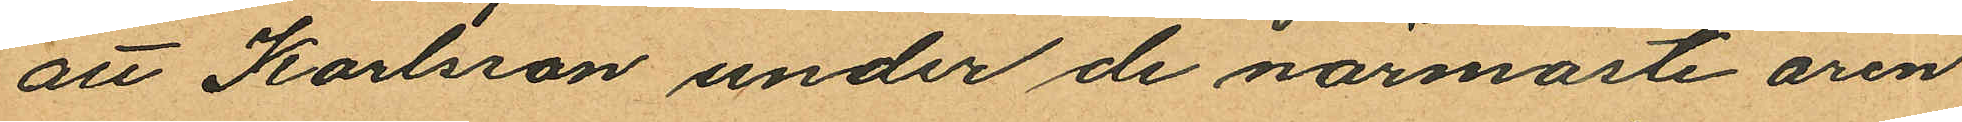att Karlsson under de närmaste åren
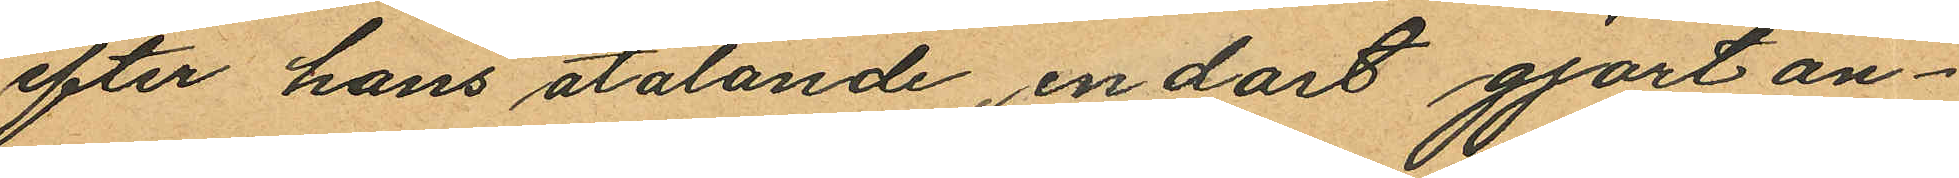efter hans åtalande, endast gjort an¬
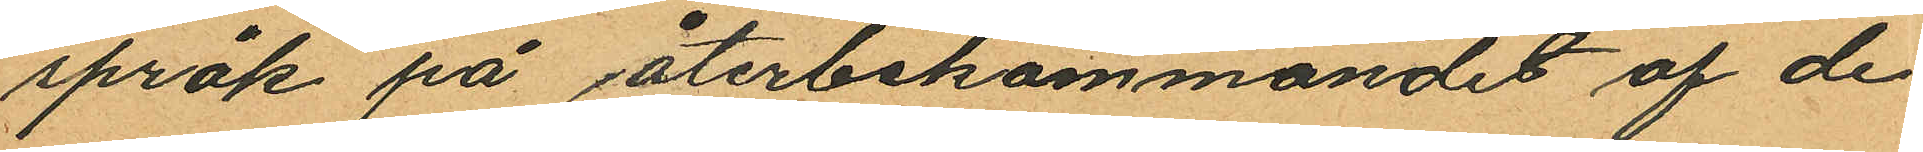språk på återbekommandet af de
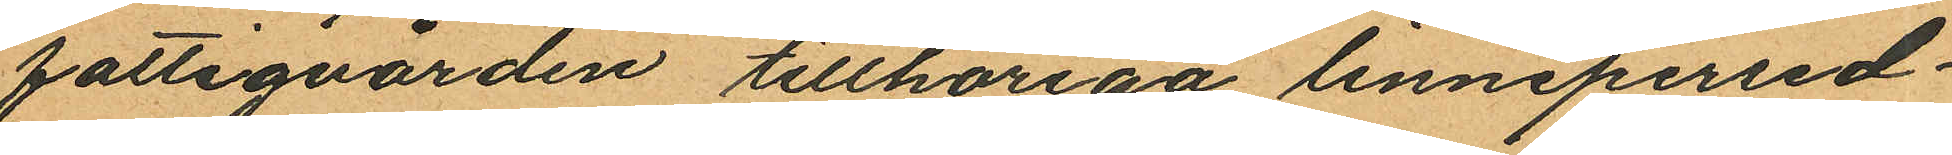fattigvården tillhöriga linnepersed¬
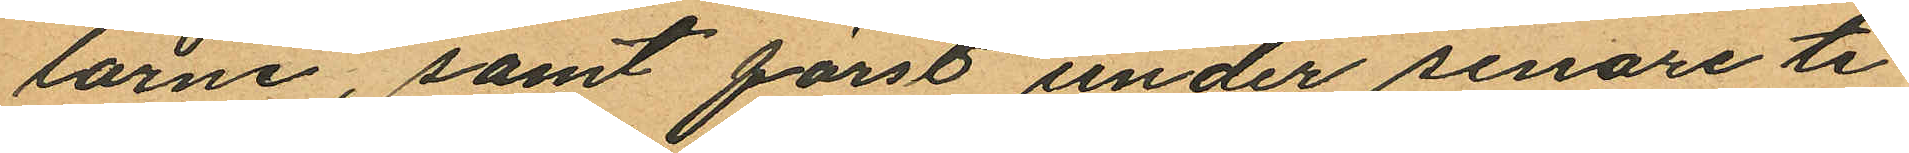larne, samt först under senare ti¬
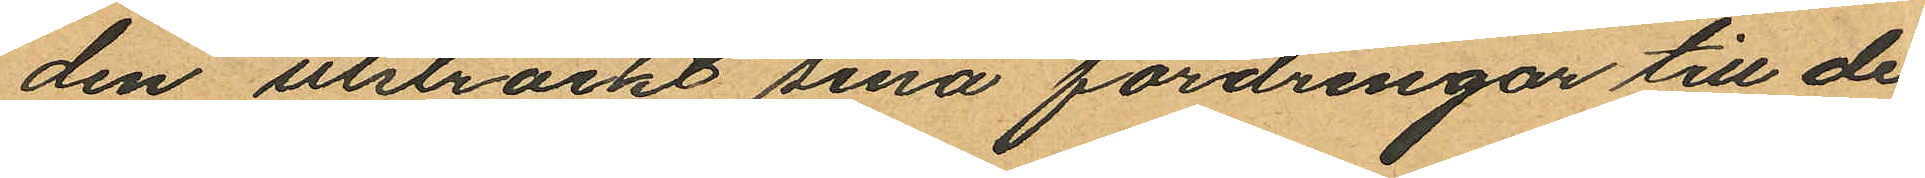den utsträckt sina fordringar till de
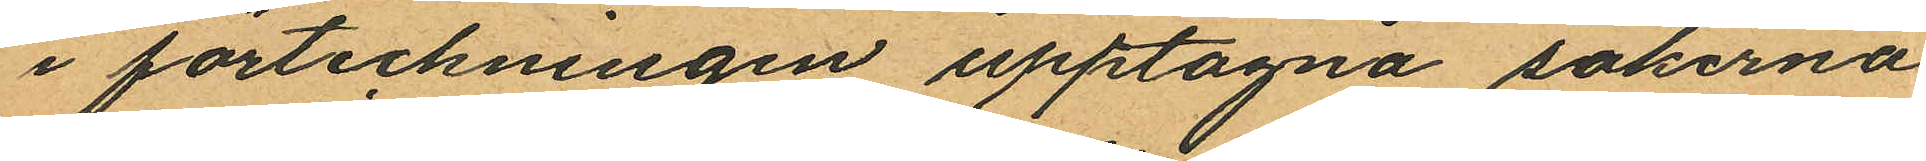i förteckningen upptagna sakerna
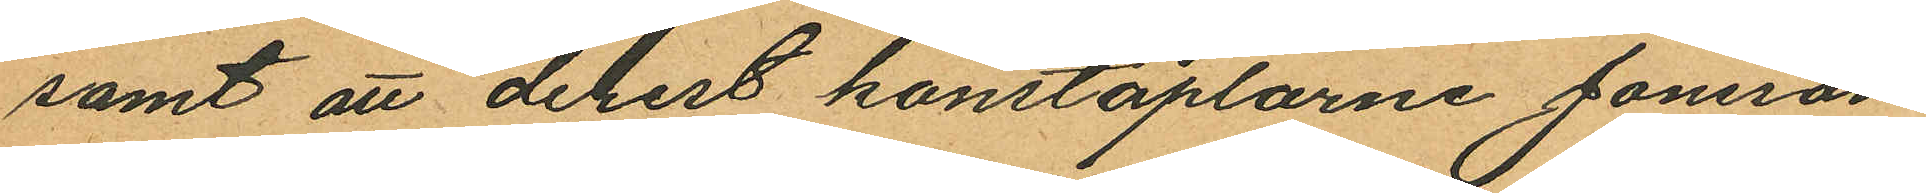samt att derest konstaplarne Jönsson
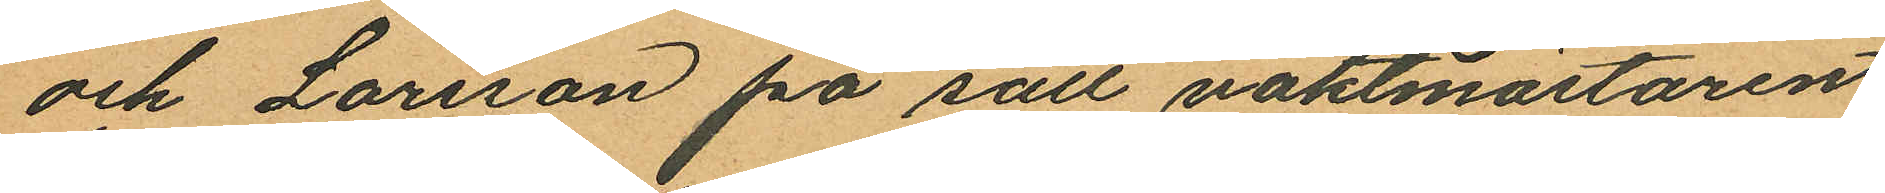och Larsson på sätt vaktmästaren
